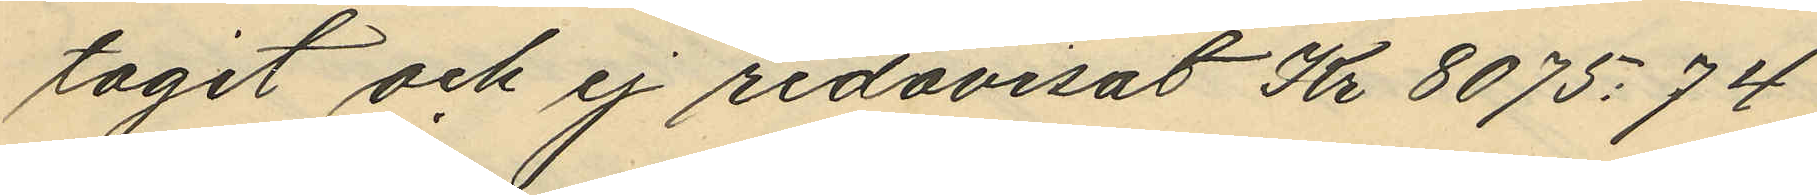tagit och ej redovisat Kr 8075:74.
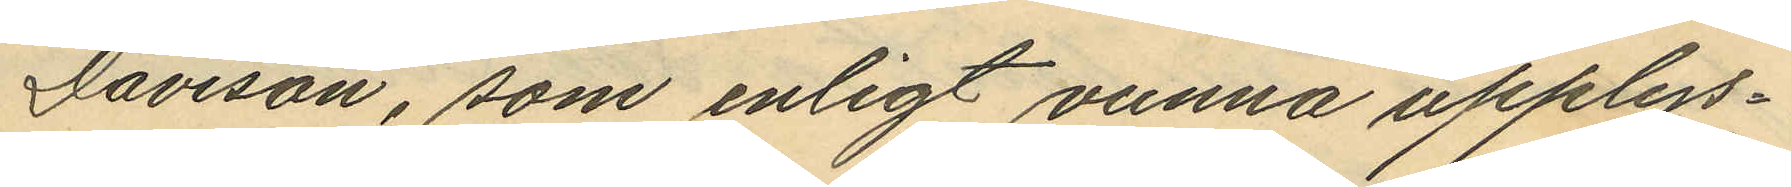Davison, som enligt vunna upplys¬
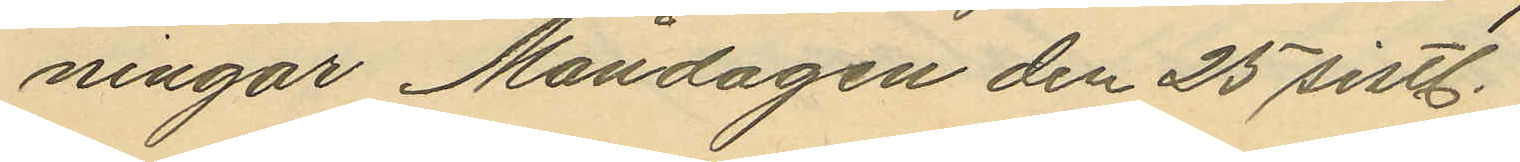ningar Måndagen den 25 sistl.
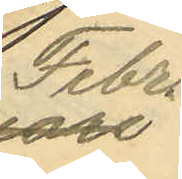Febr
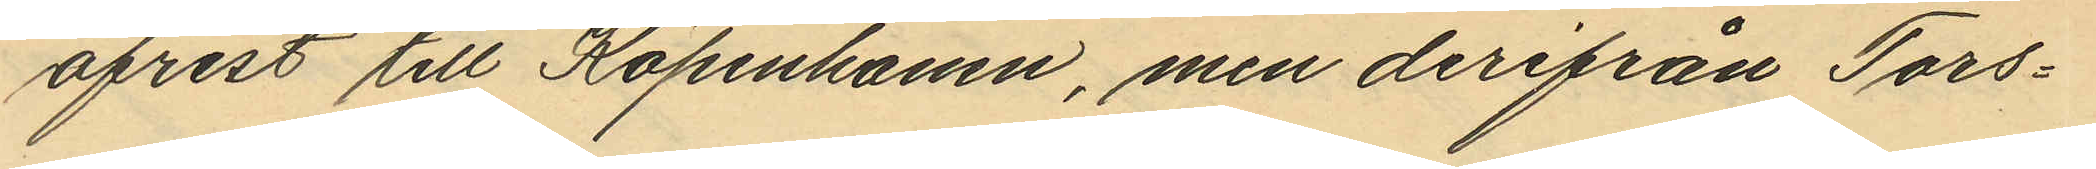afrest till Köpenhamn, men derifrån Tors¬
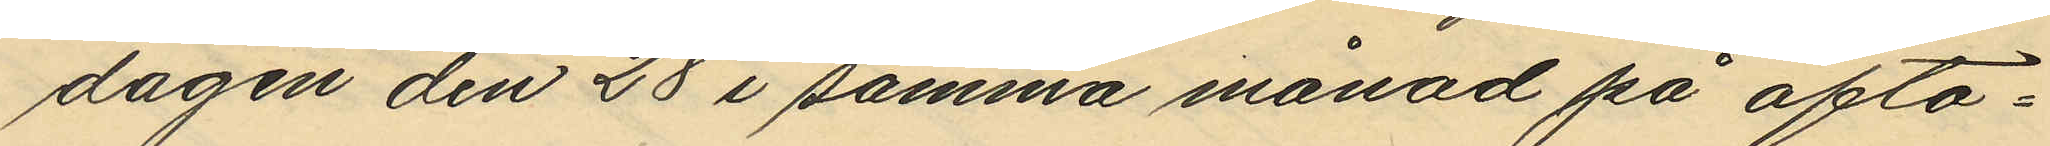dagen den 28 i samma månad på afto¬
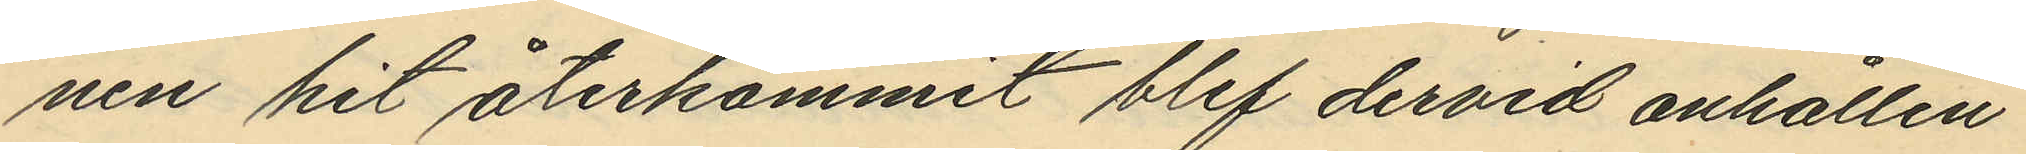nen hit återkommit blef dervid anhållen
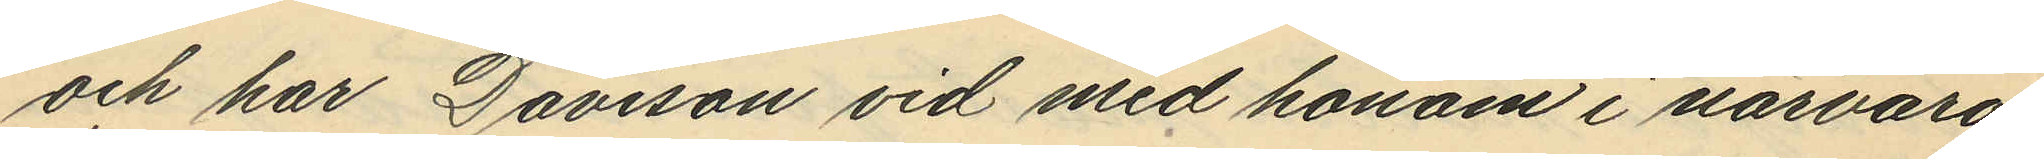och har Davison vid med honom i närvaro
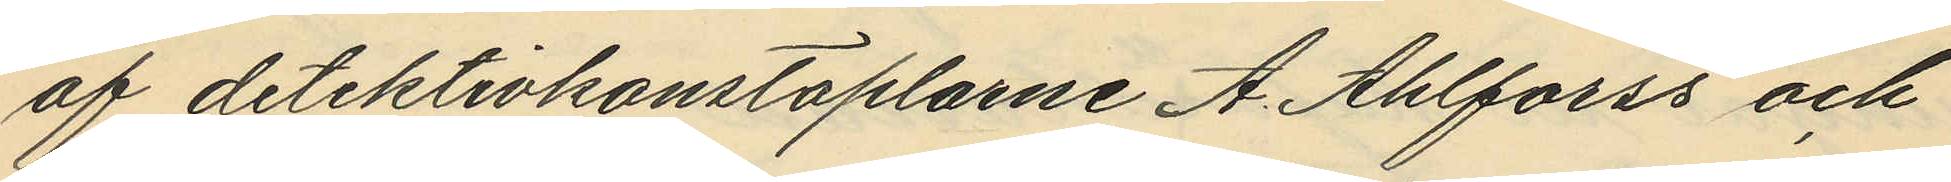af detektivkonstaplarne A. Ahlforss och
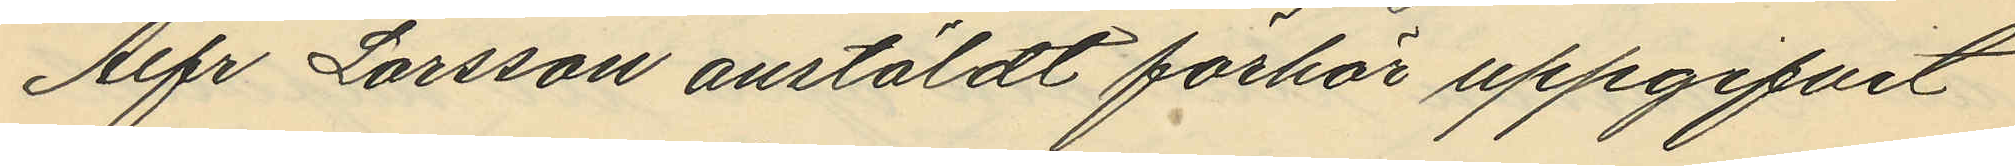Alfr Larsson anstäldt förhör uppgifvit
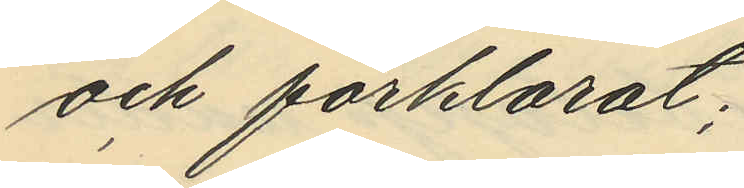och förklarat;
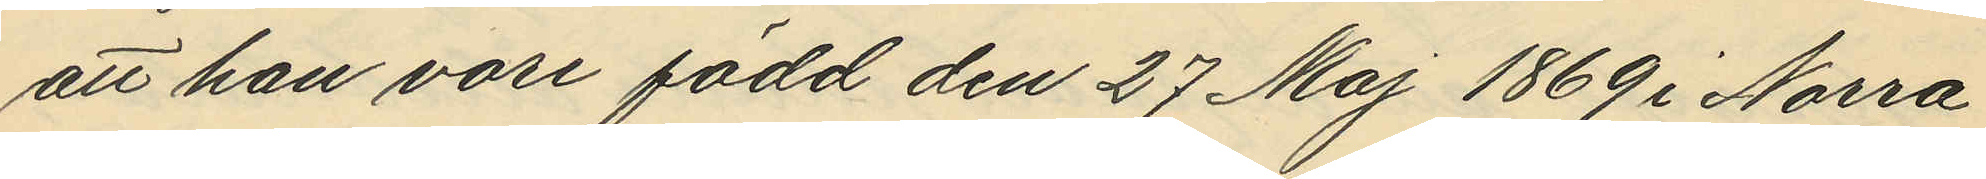att han vore född den 27 Maj 1869 i Norra
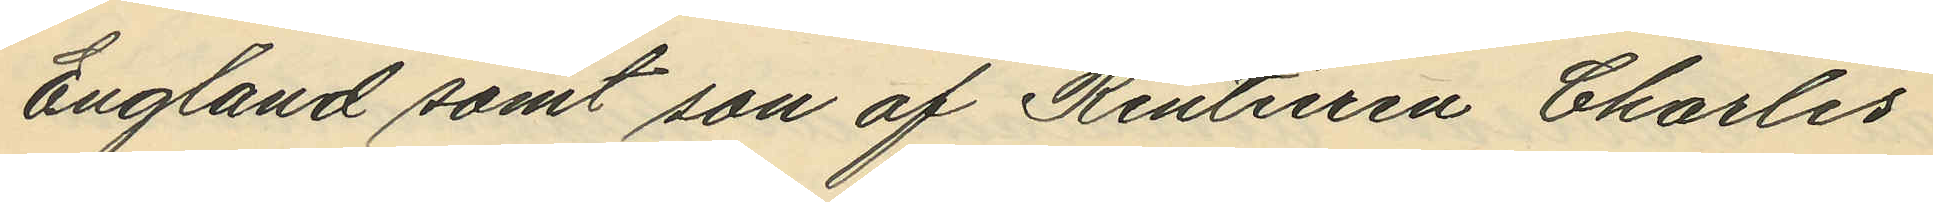England samt son af Rentieren Charles
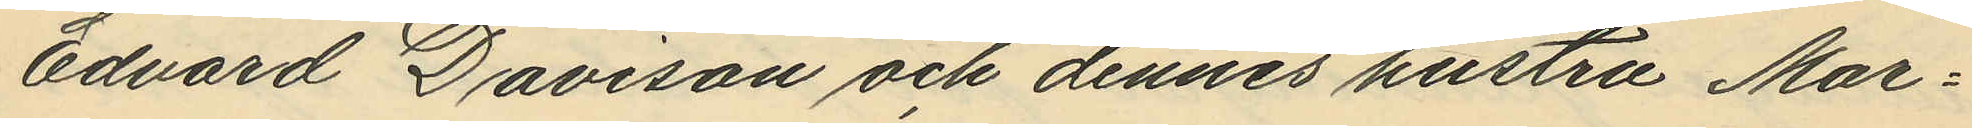Edvard Davison och dennes hustru Mar¬
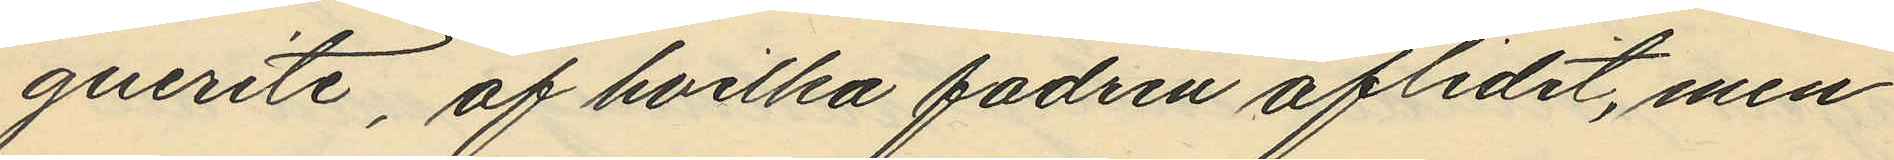gurite, af hvilka fadren aflidit, men
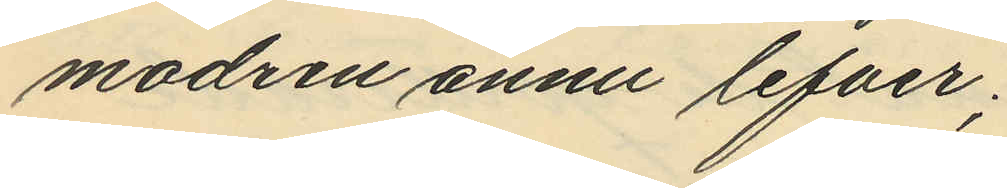modren ännu lefver;
